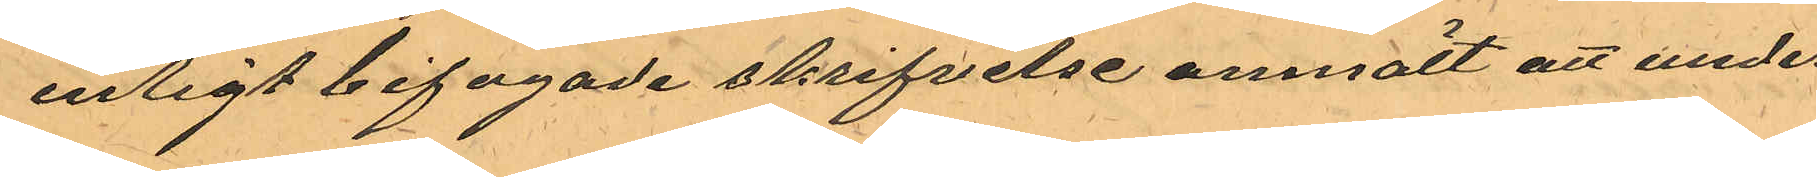enligt bifogade skrifvelse anmält att under
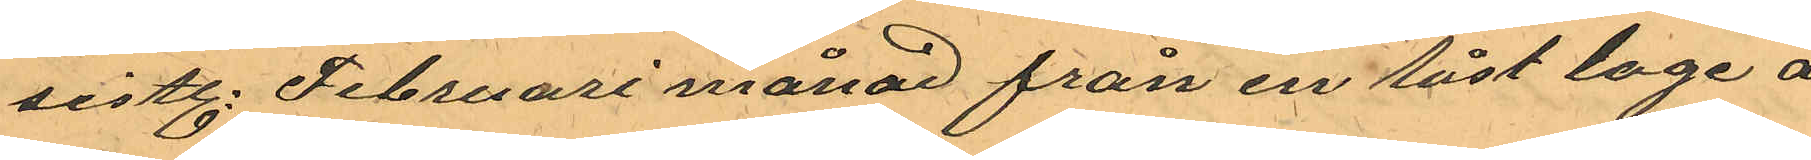sistl. Februari månad från en låst loge å
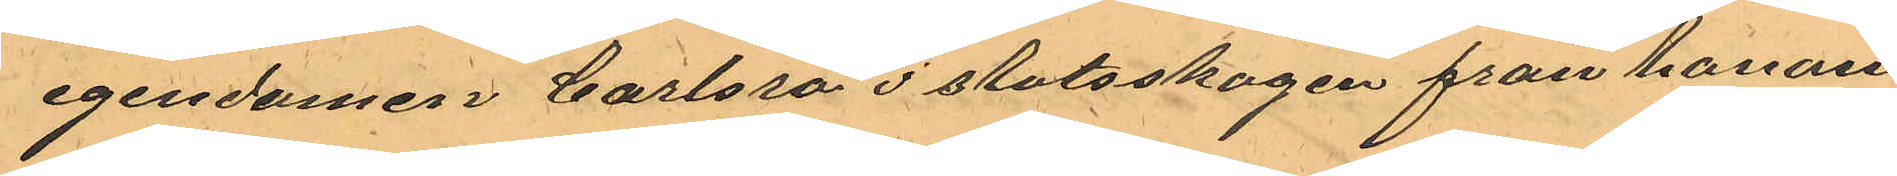egendomen Carlsro i slotsskogen från honom
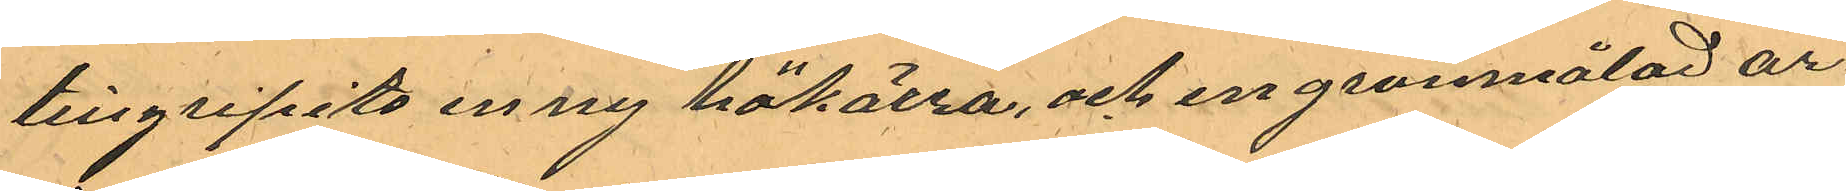tillgripits en ny hökärra, och en grönmålad ar¬
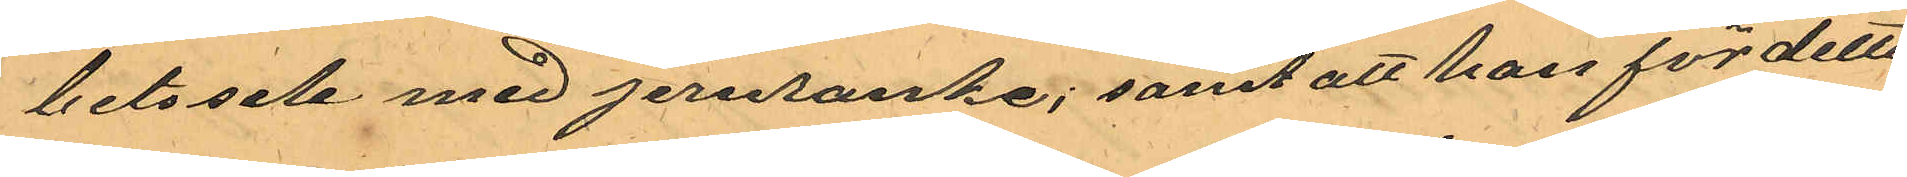betssele med jernranke; samt att han för detta
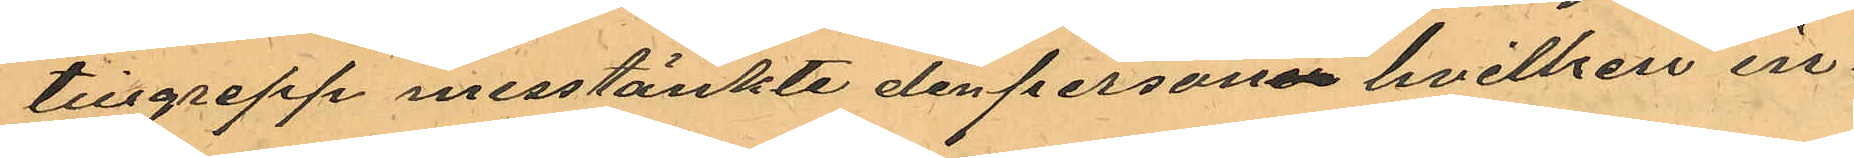tillgrepp misstänkte den personen hvilken in¬
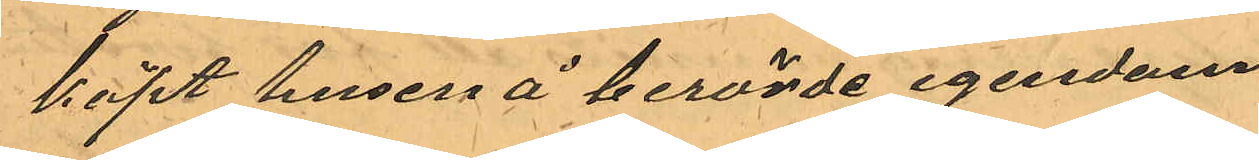köpt husen å berörde egendom.
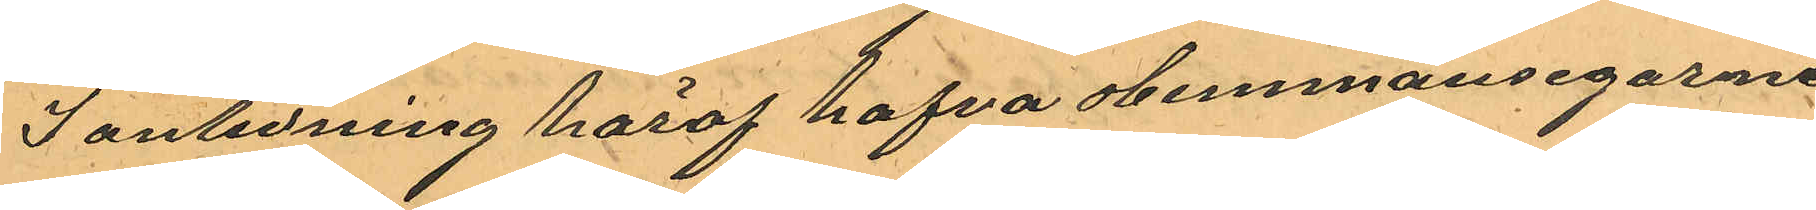I anledning häraf hafva Hemmansegarne
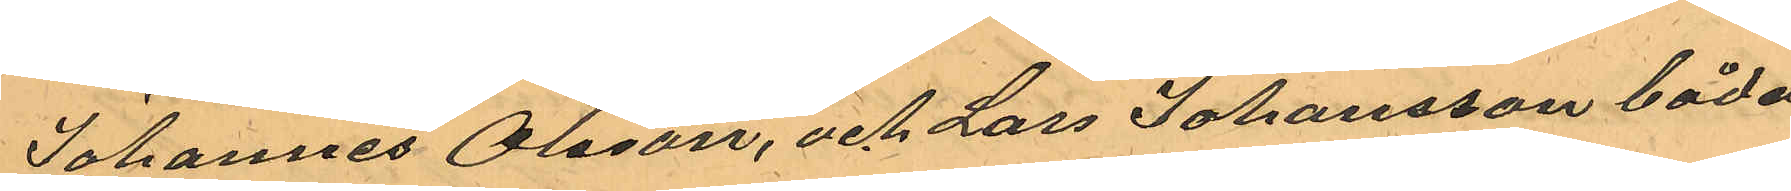Johannes Olsson, och Lars Johansson båda
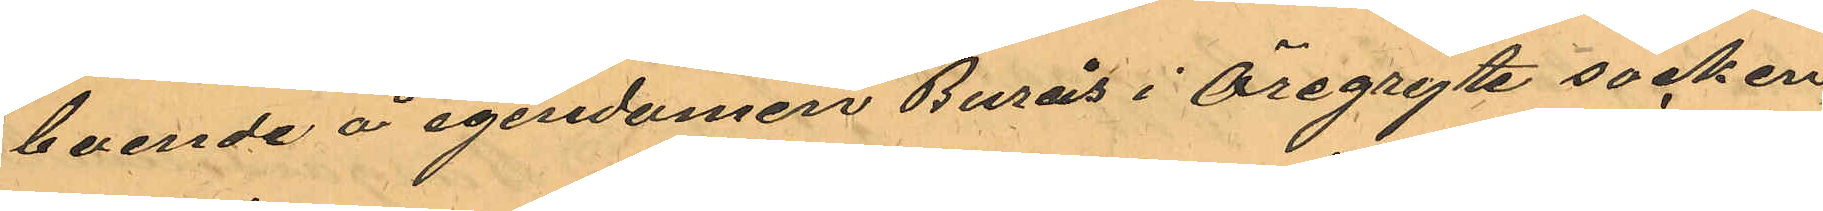boende å egendomen Burås i Öregryte socken,
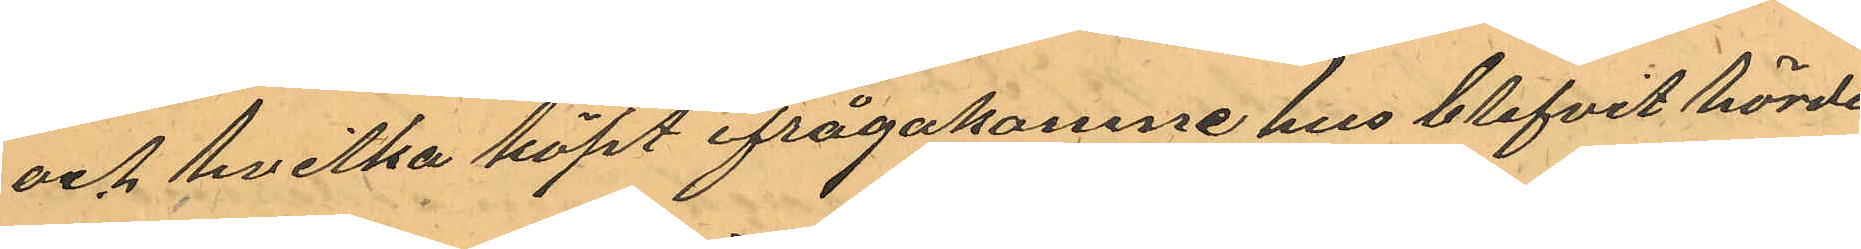och hvilka köpt ifrågakomne hus blifvit hörde
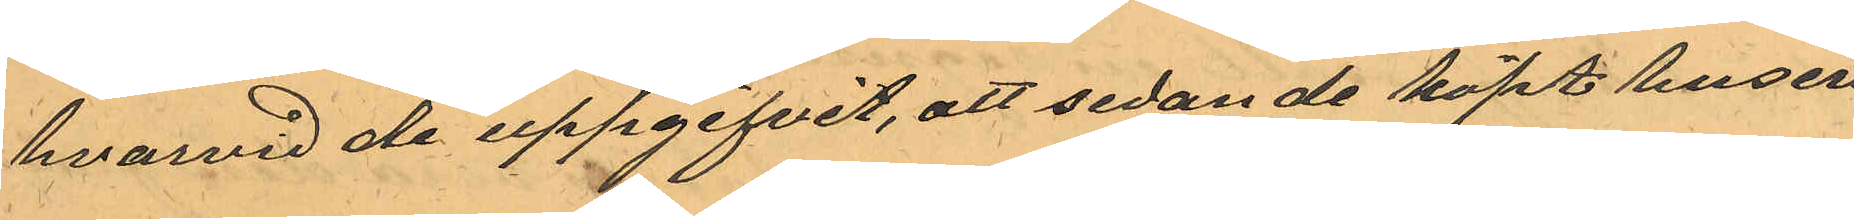hvarvid de uppgifvit, att sedan de köpt husen
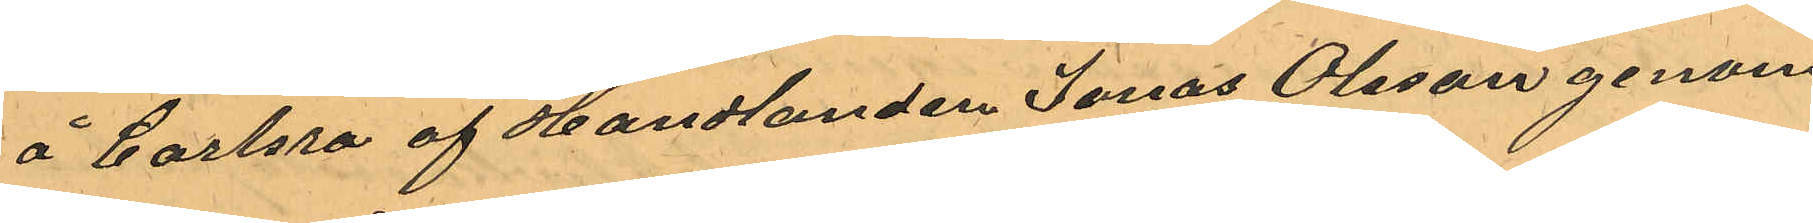å Carlsro af Handlanden Jonas Olsson genom
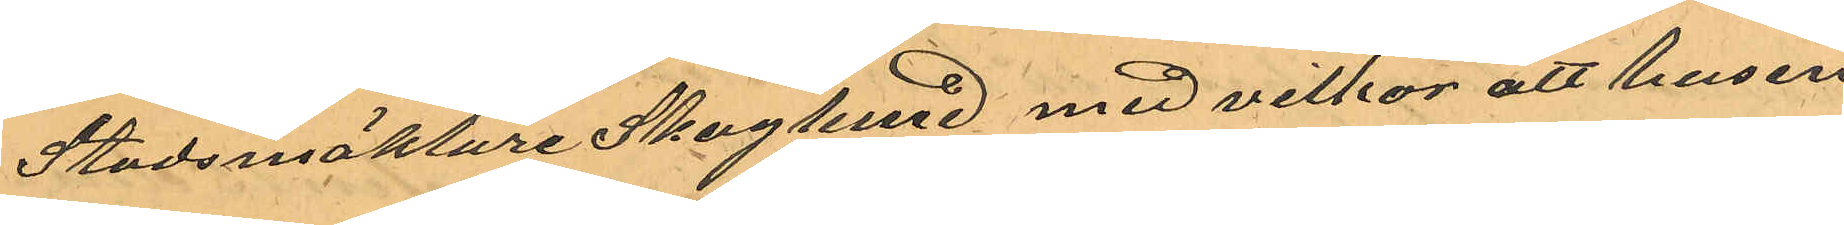Stadsmäklare Skoglund med villkor att husen 
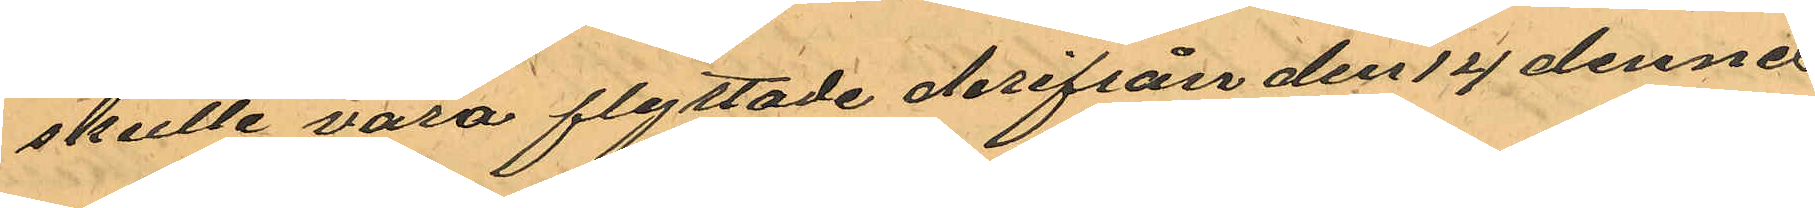skulle vara flyttade derifrån den 14 dennes
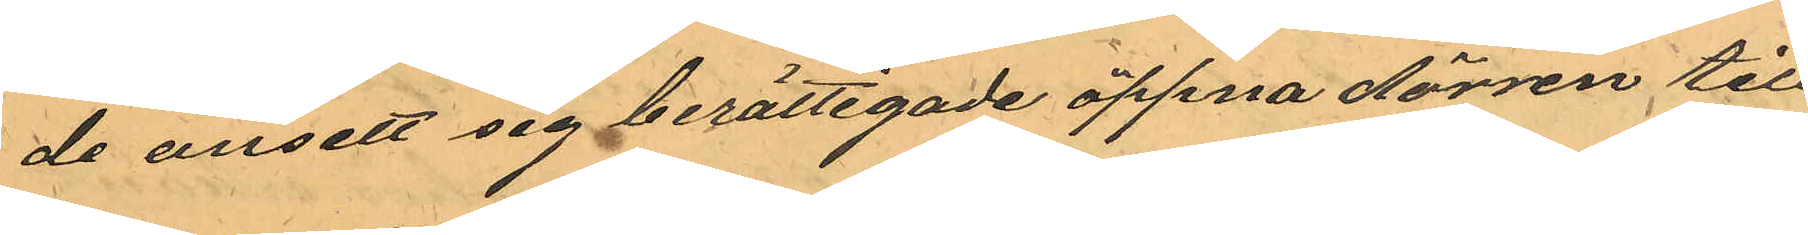de ansett sig berättigade öppna dörren till 
